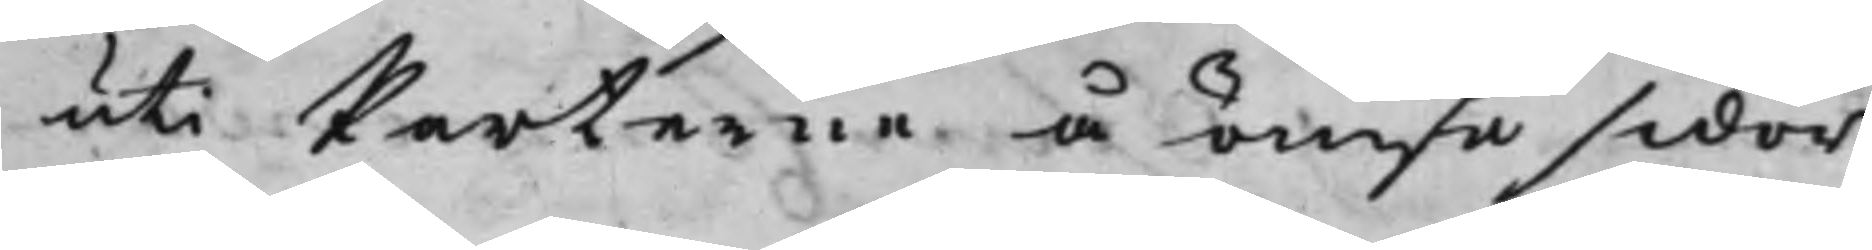uti Parterne å ömse sidor
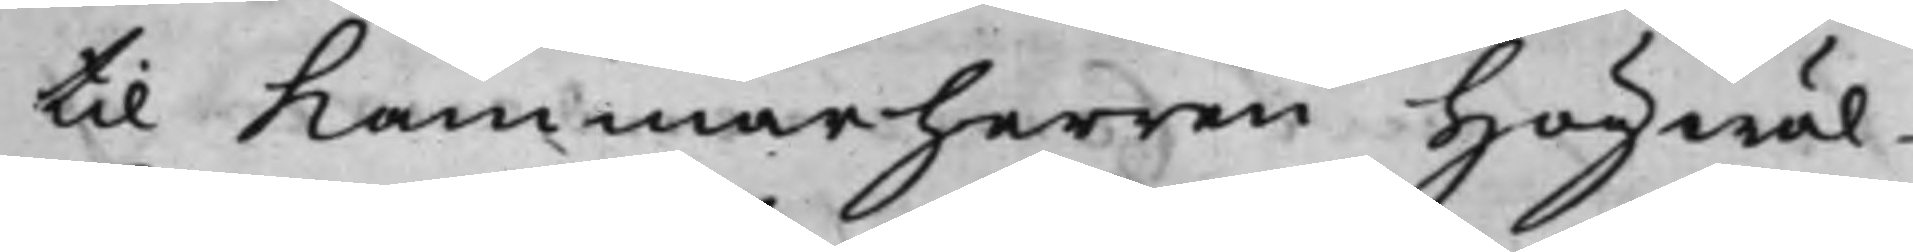til Kammarherren Högwäl¬
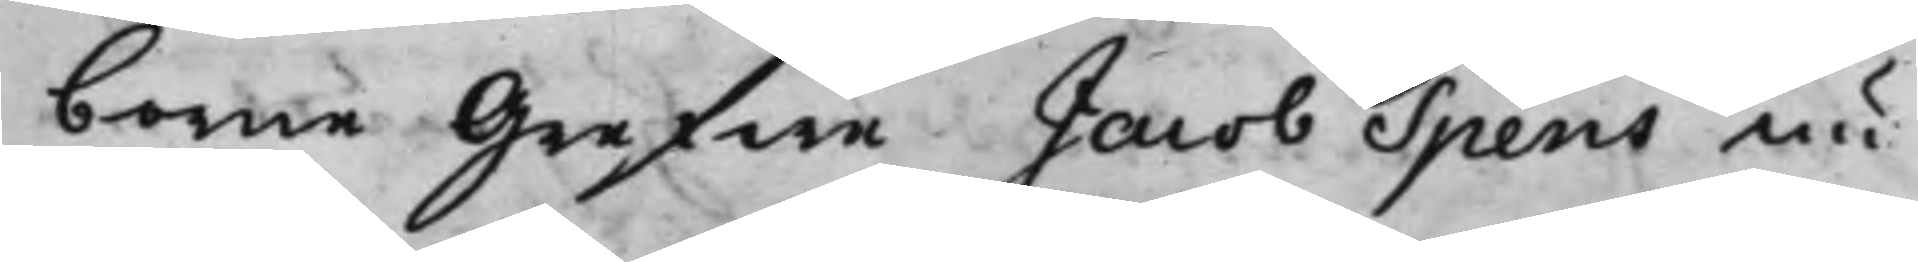borne Grefwe Jacob Spens nu
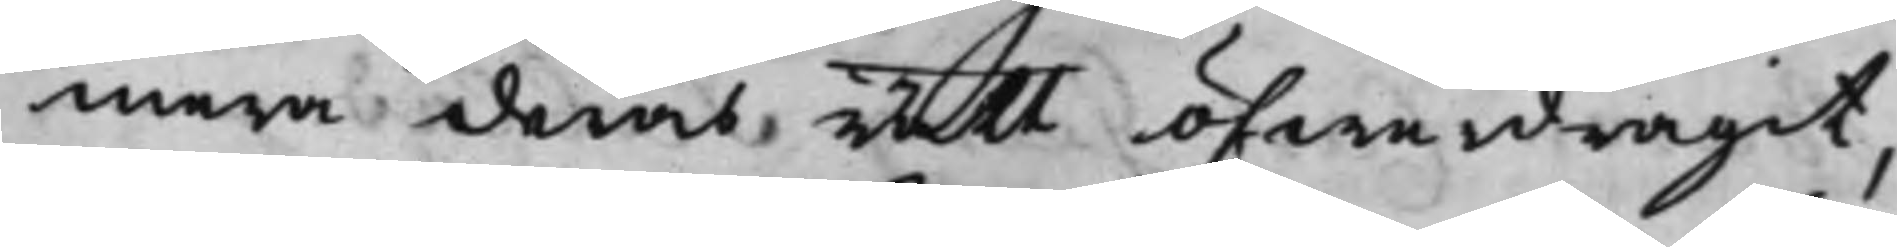mera deras rätt öfwerdragit,
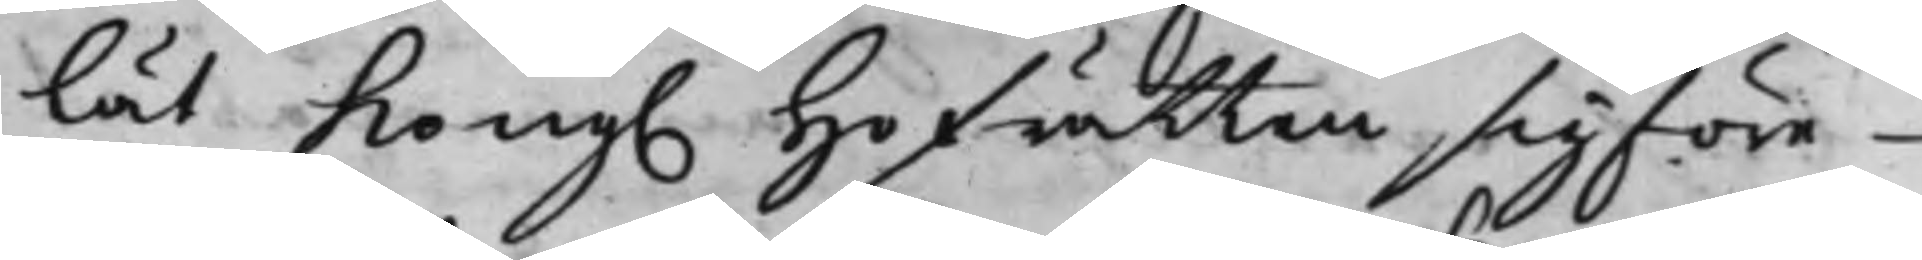lät Kong. Hofrätten sig före¬ 
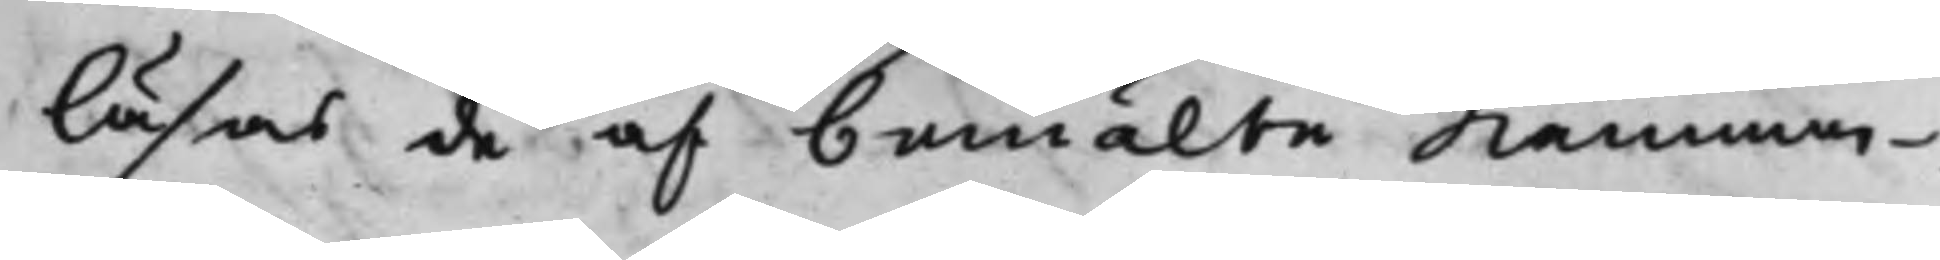läsas de af bemälte Kammar¬
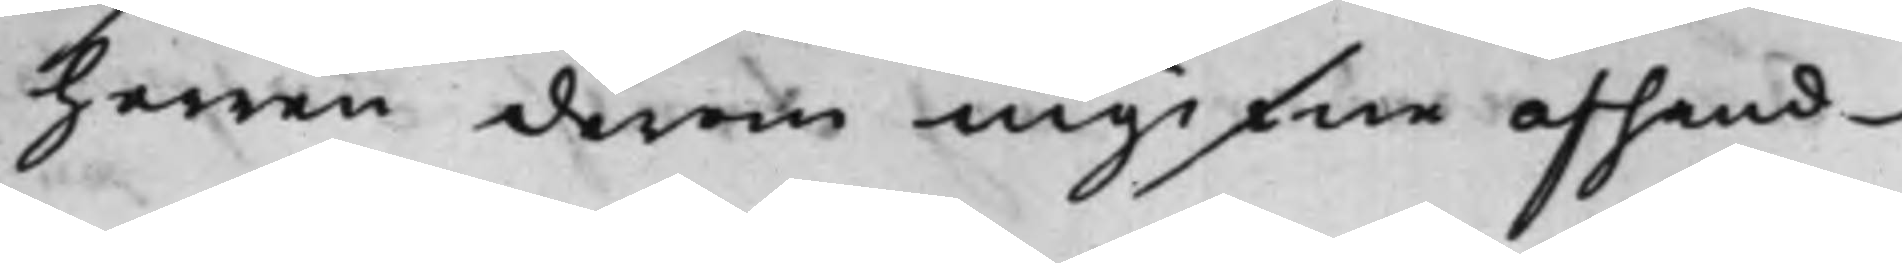herren derom ingifne afhand¬
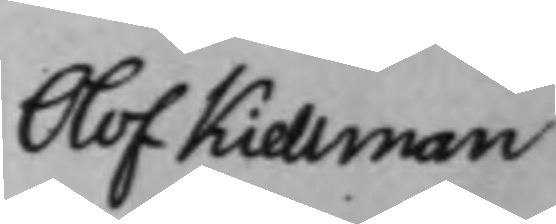Olof Kiellman 
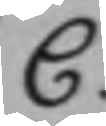C.
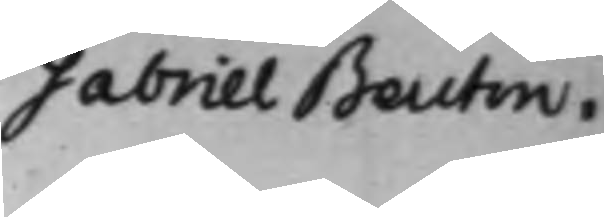Gabriel Beutin.
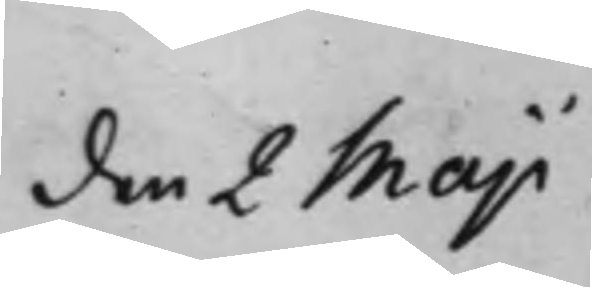den 2 Maji
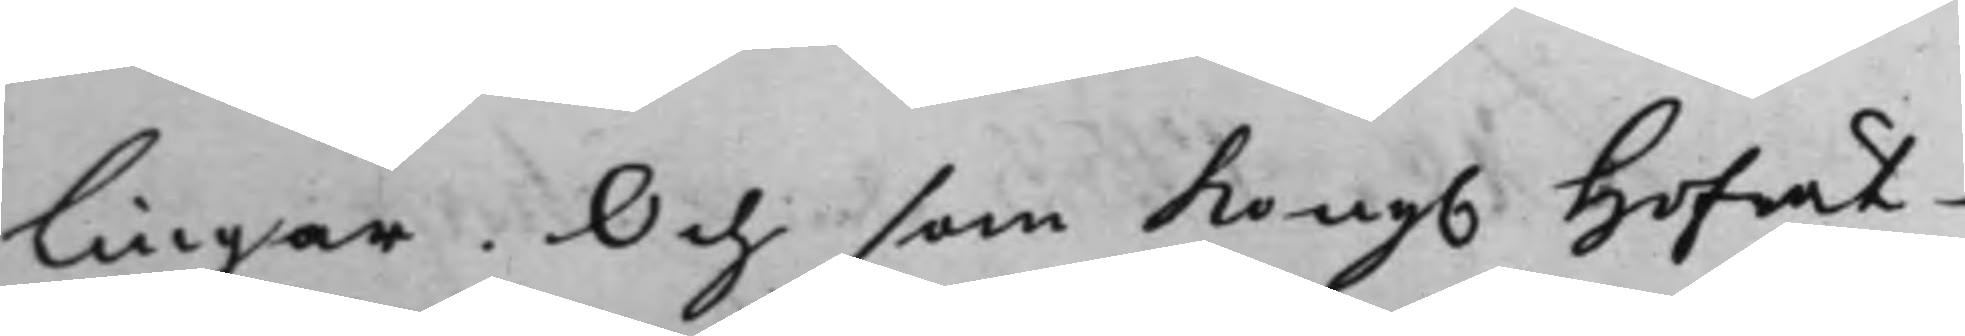lingar. Och som Kong. Hofrät¬
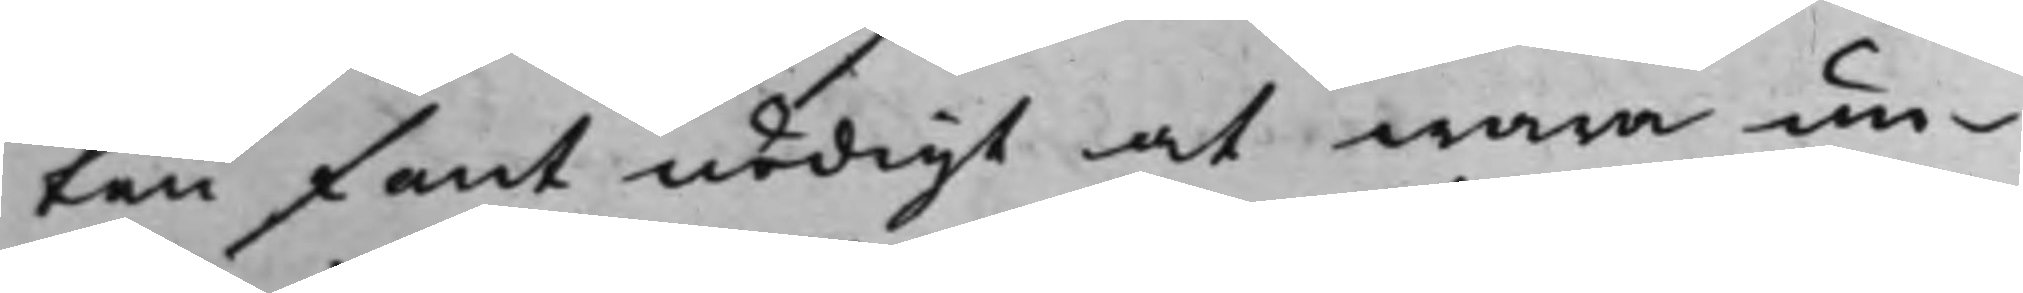ten fant nödigt at wara un¬
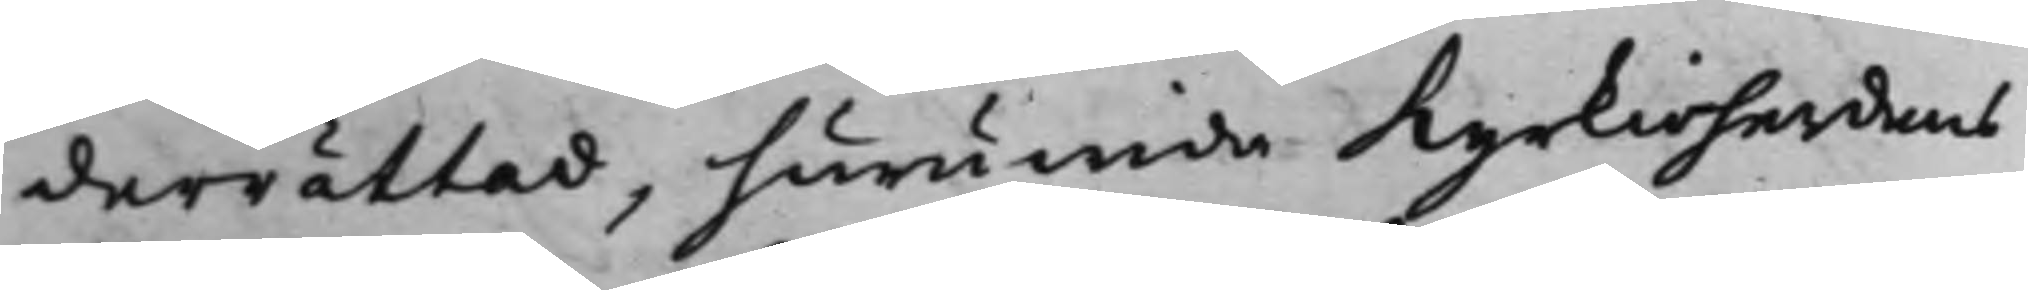derrättad, huruwida Kyrkioherdens
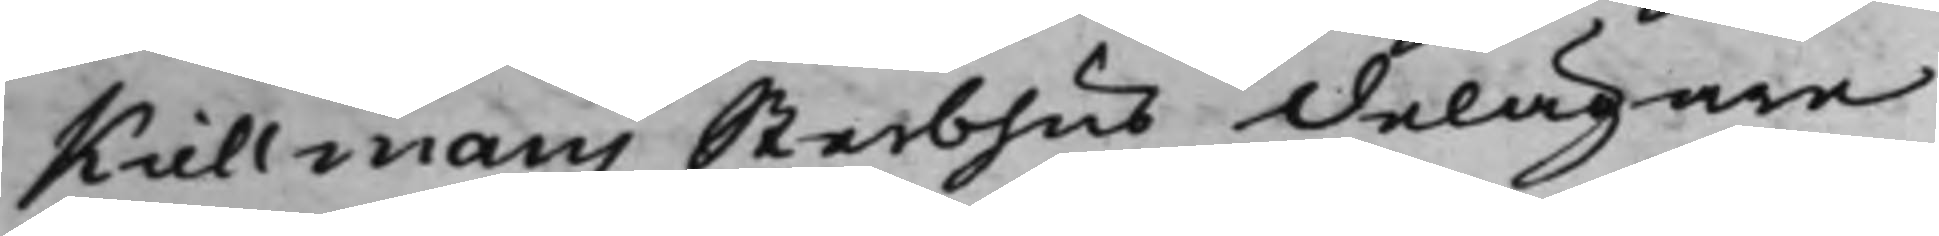Kiellmans Sterbhus delägare
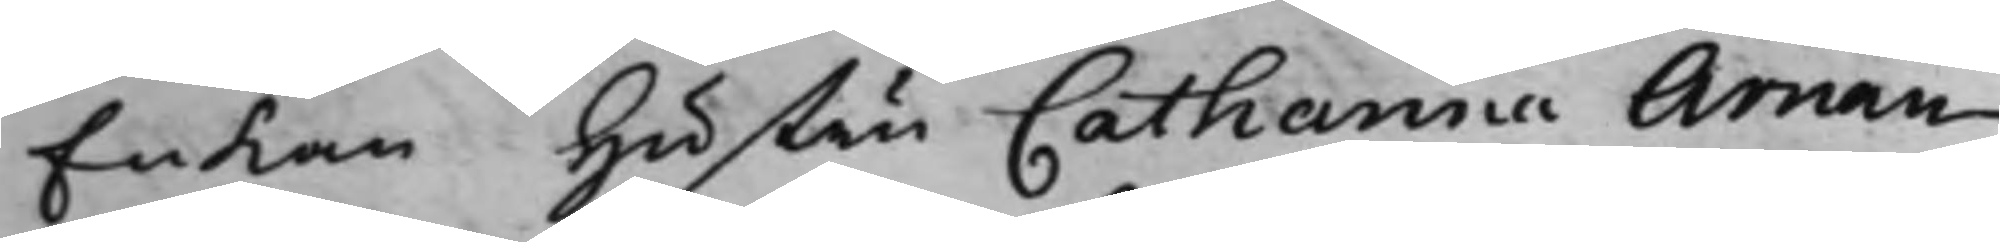Enkan Hustru Catharina Arnan¬
